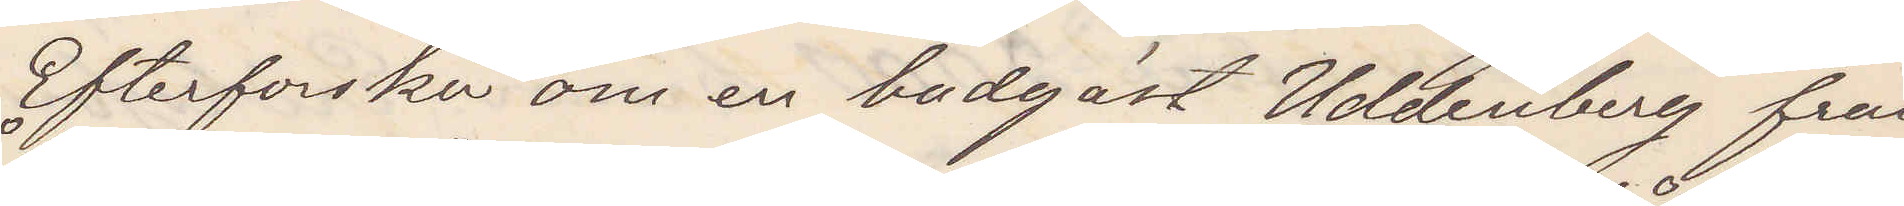Efterforska om en badgäst Uddenberg från
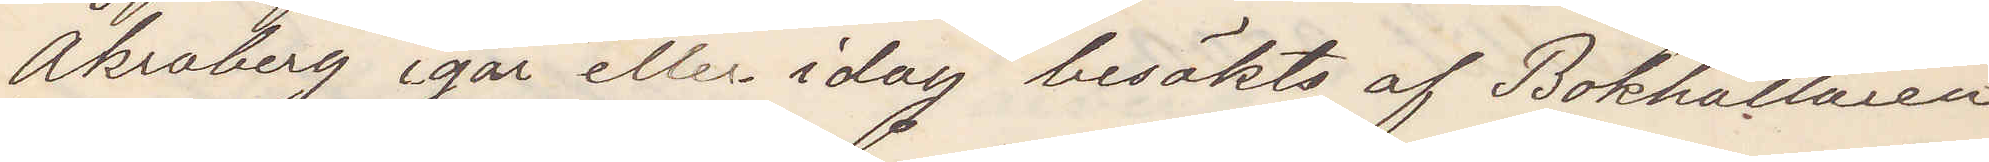Åkraberg igår eller idag besökts af Bokhållaren
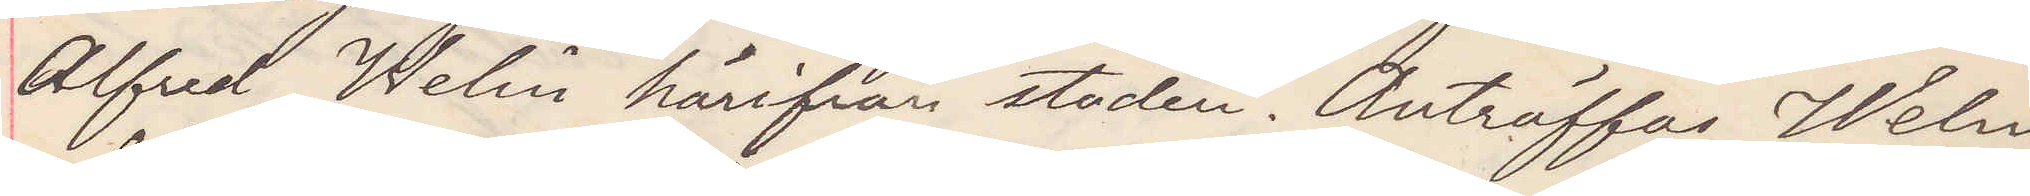Alfred Welin härifrån staden. Anträffas Welin
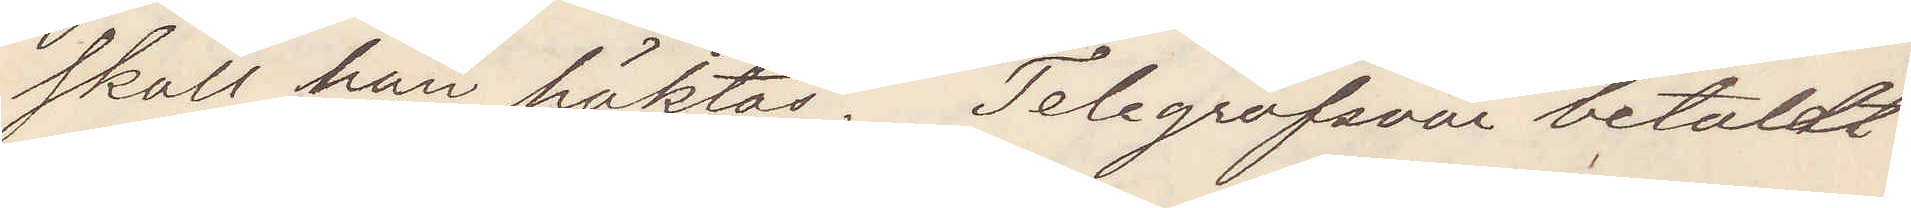skall han häktas. Telegrafsvar betaldt.
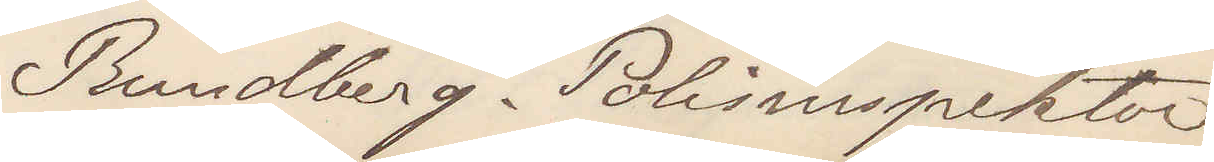Rundberg. Polisinspektor
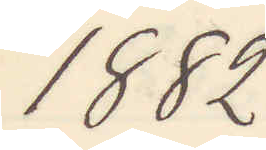1882
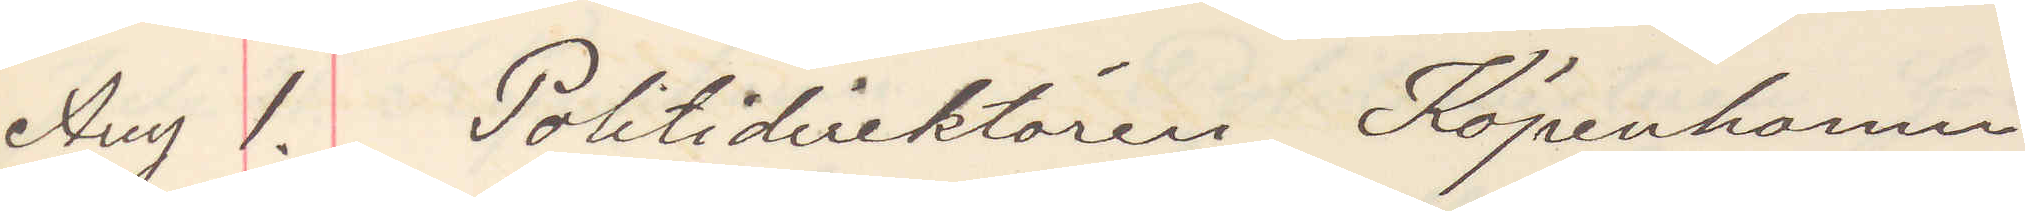Aug 1. Politidirektören Köpenhamn
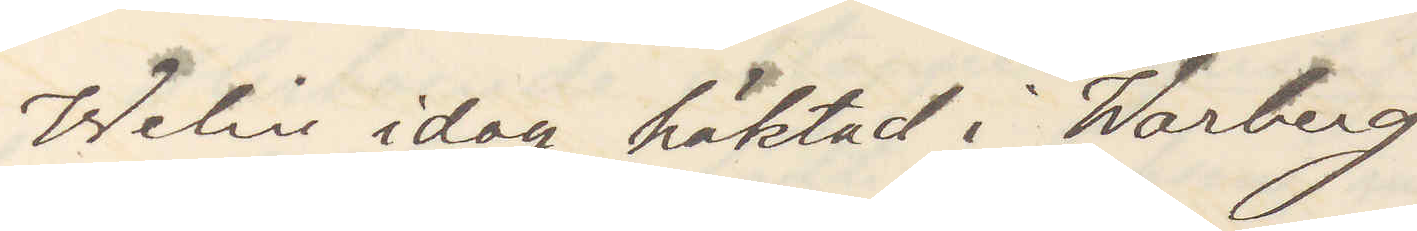Welin idag häktad i Warberg
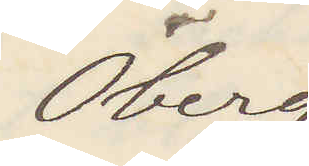Öberg
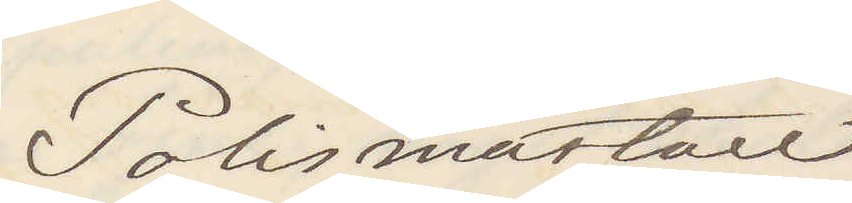Polismästare
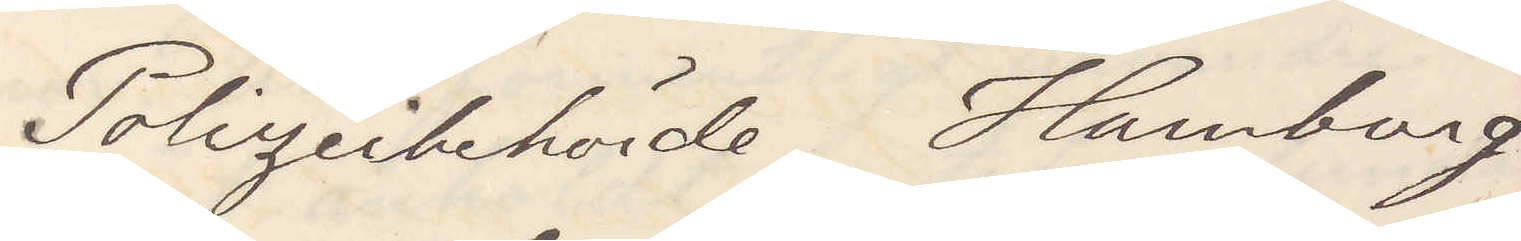Polizeibehörde Hamburg
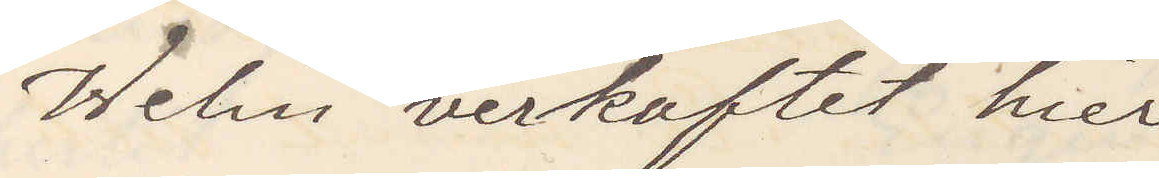Welin verhaftet hier
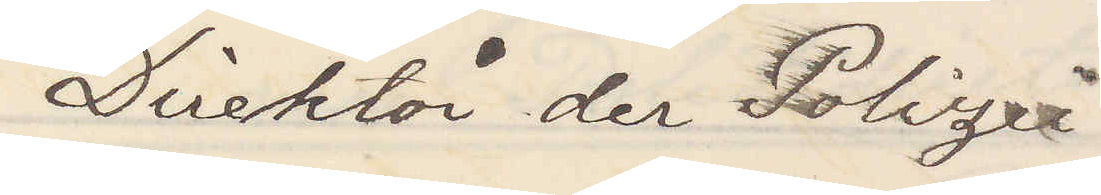Direktör der Polizei
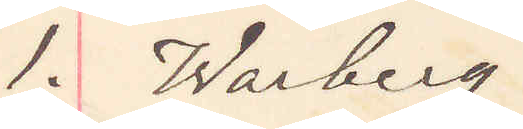1. Warberg
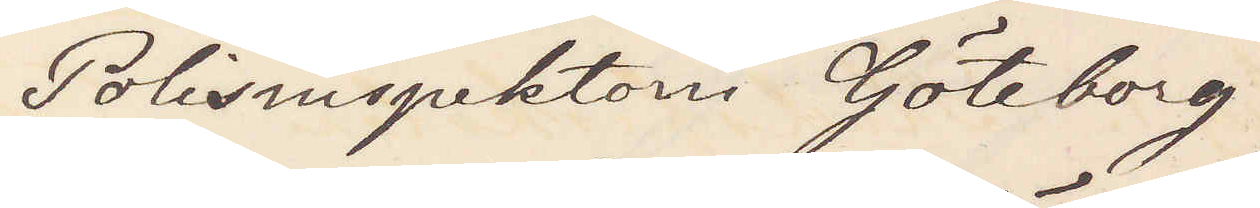Polisinspektorn Göteborg
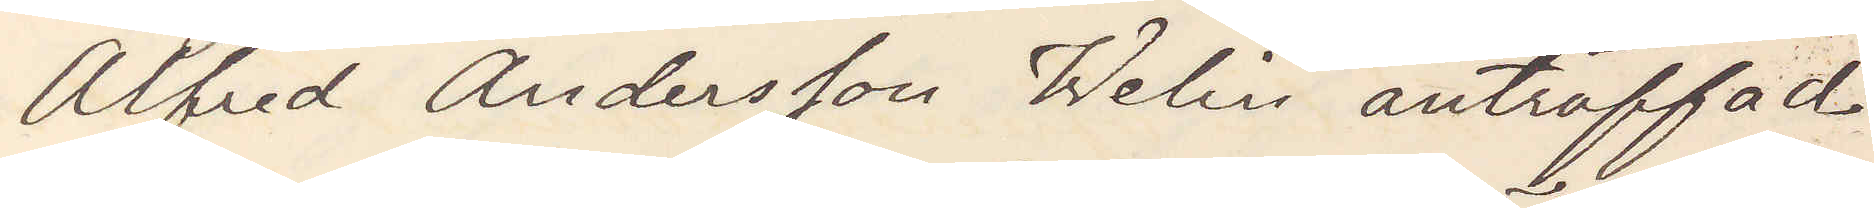Alfred Andersson Welin anträffad
